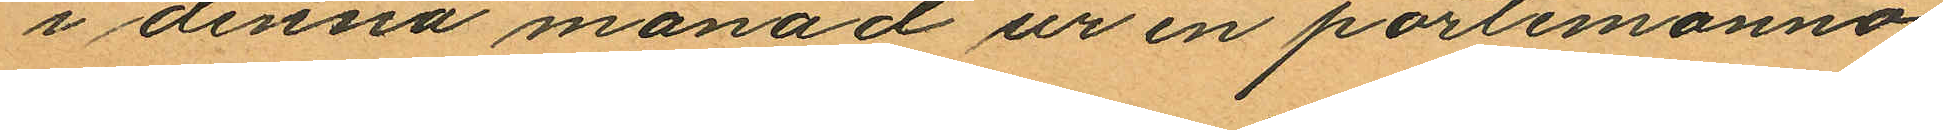i denna månad ur en portemonnä,
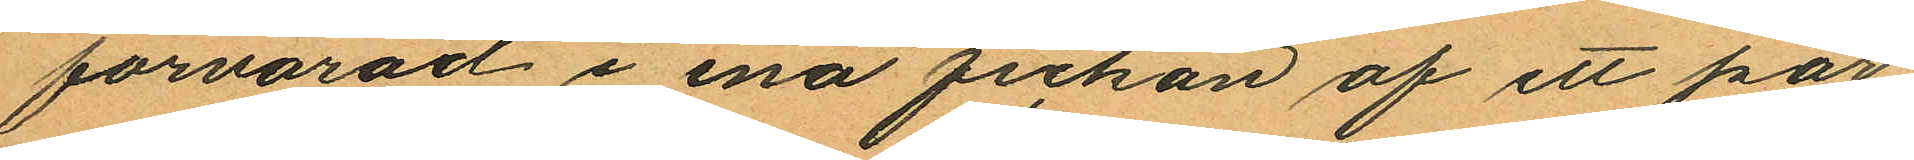förvarad i ena fickan af ett par
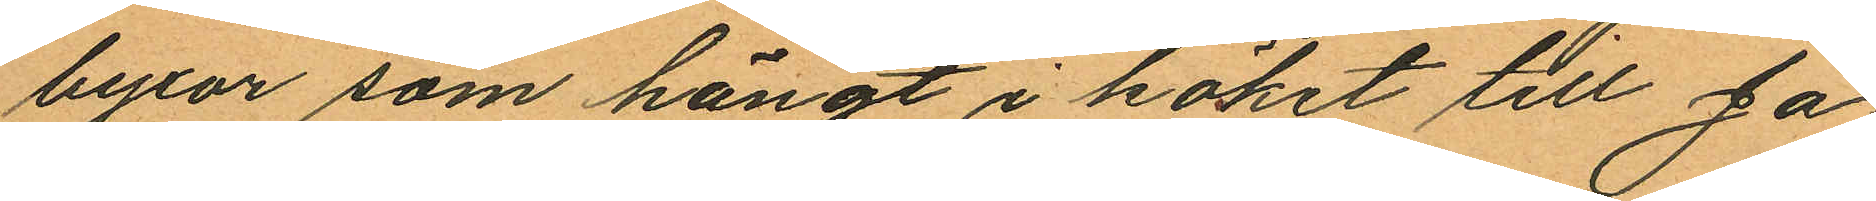byxor som hängt i köket till Ja¬
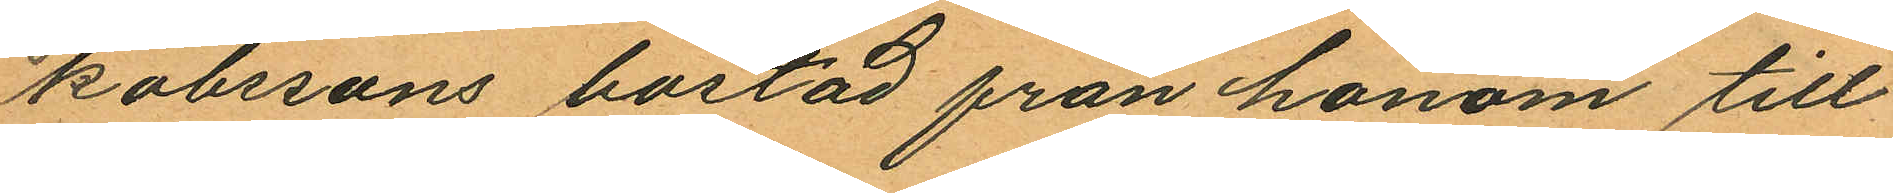kobssons bostad från honom till¬
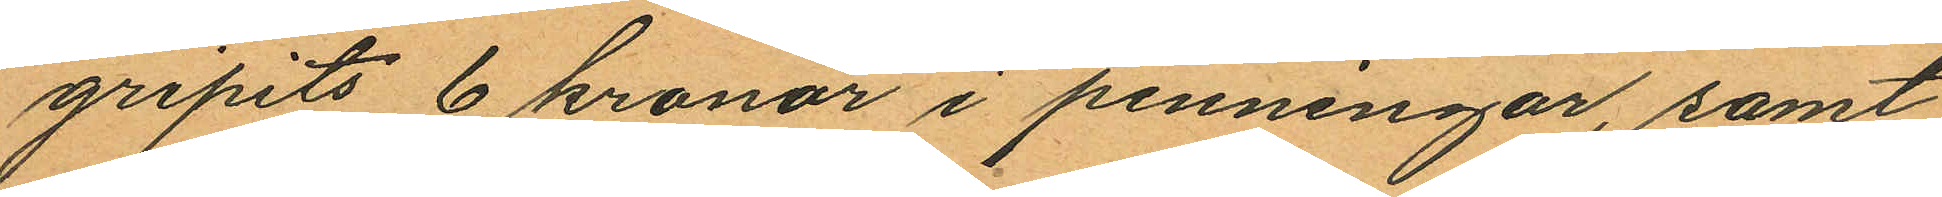gripits 6 kronor i penningar, samt
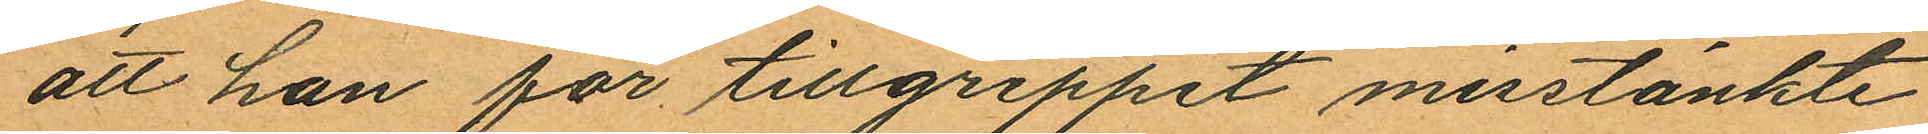att han för tillgreppet misstänkte
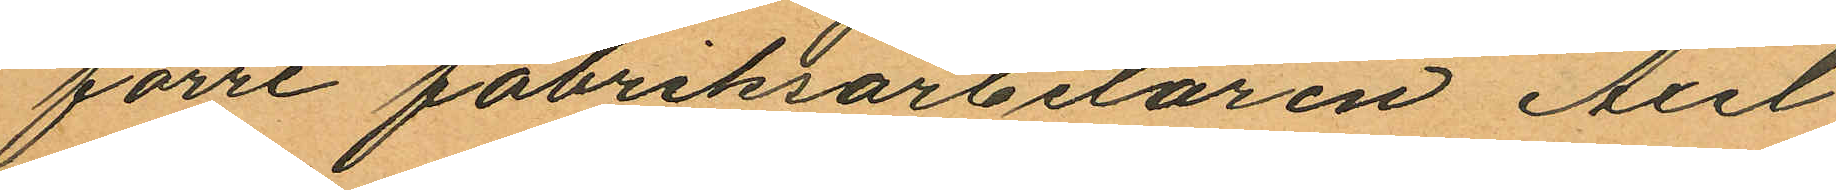förre fabriksarbetaren Axel
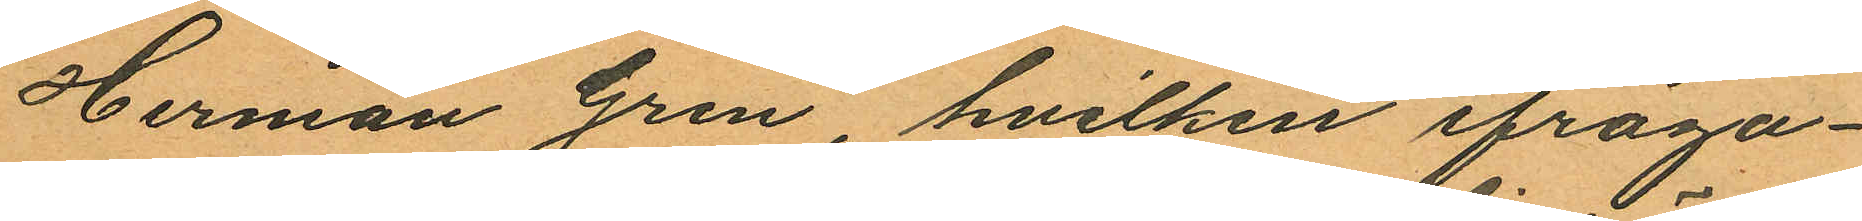Herman Gren, hvilken ifråga¬
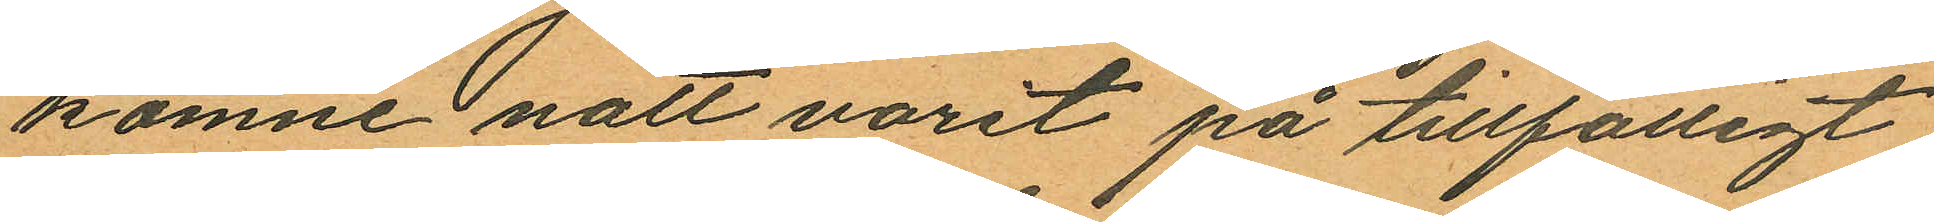komne natt varit på tillfälligt
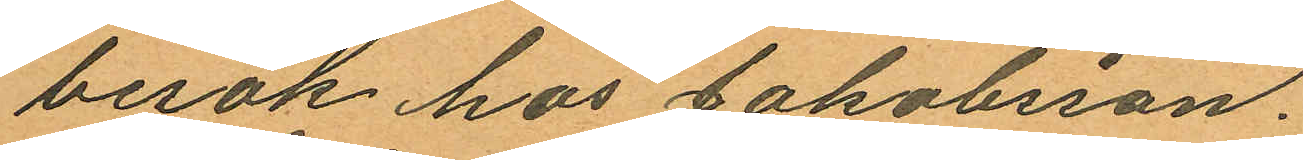besök hos Jakobsson.
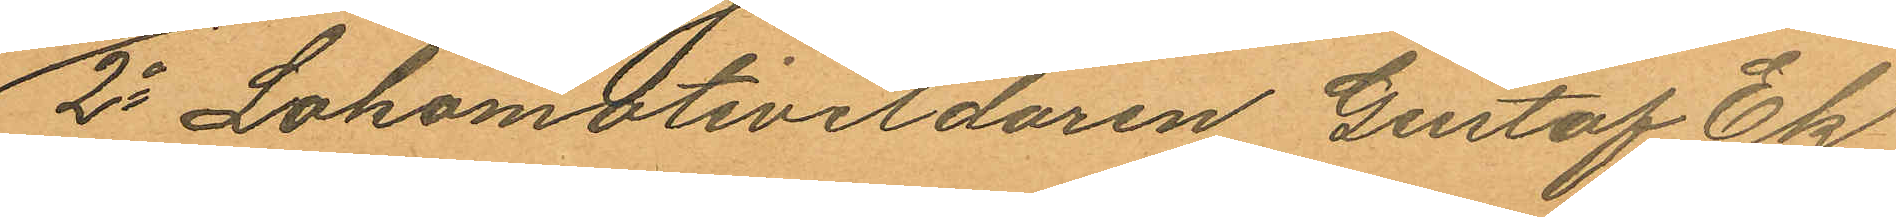2o Lokomotiveldaren Gustaf Ek
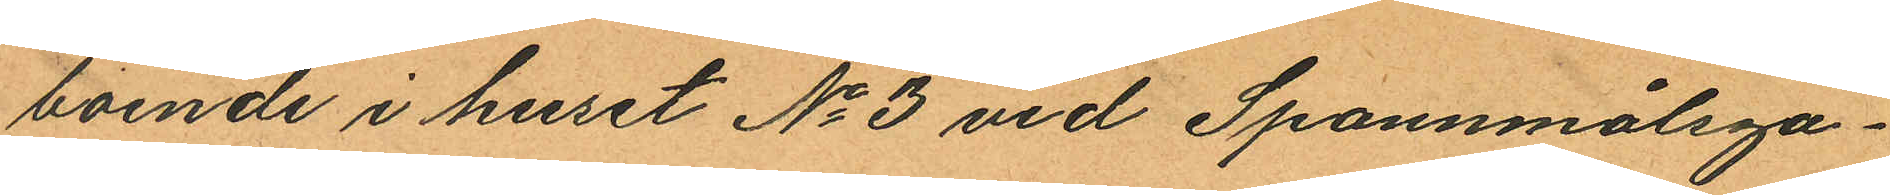boende i huset No 3 vid Spannmålsga¬
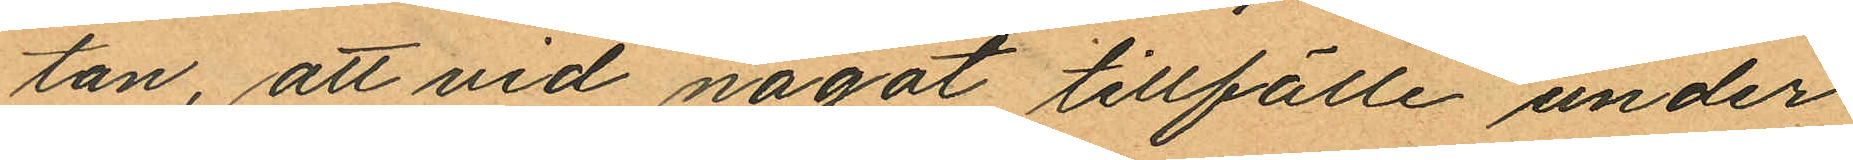tan, att vid något tillfälle under
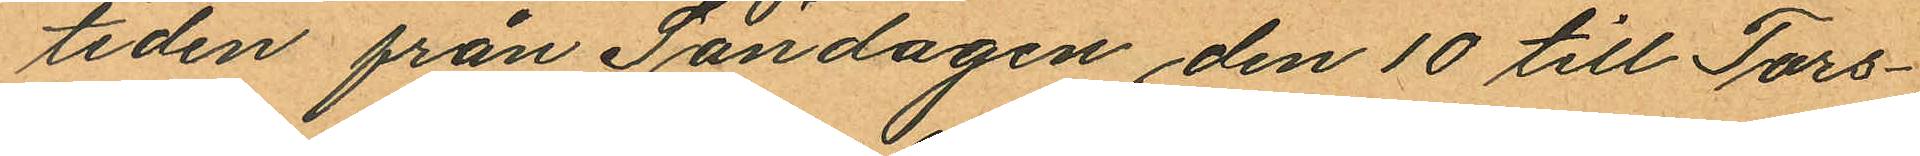tiden från Söndagen den 10 till Tors¬
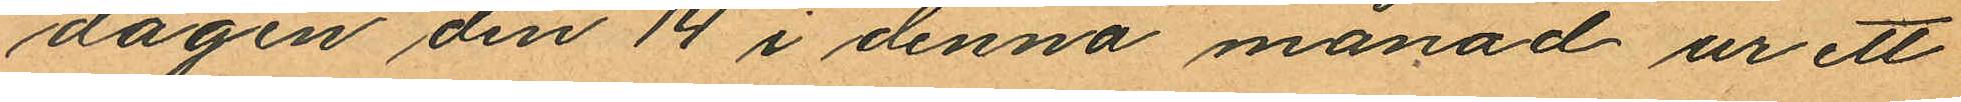dagen den 14 i denna månad ur ett
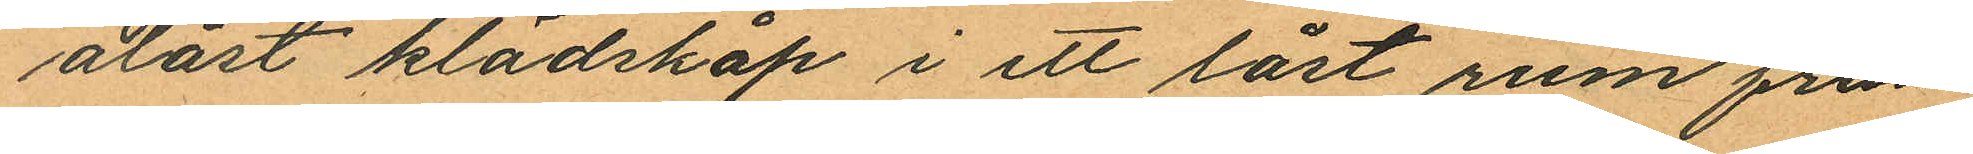olåst klädskåp i ett låst rum från
